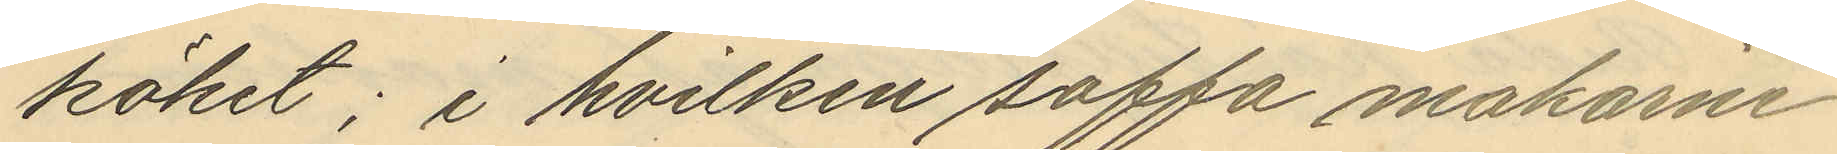köket; i hvilken soffa makarne
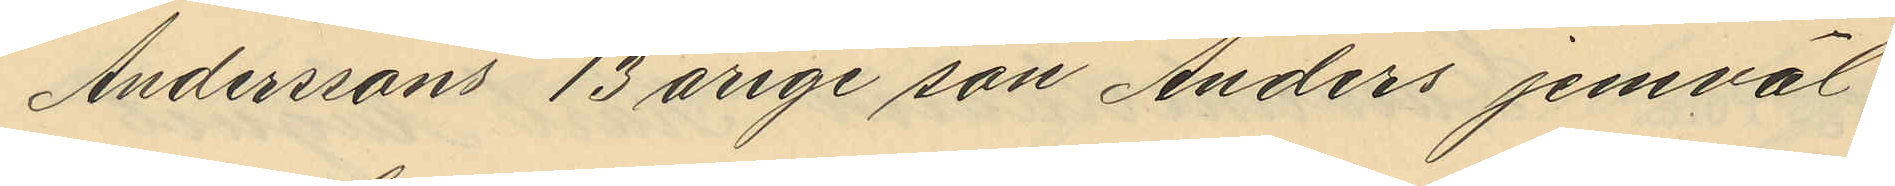Anderssons 13 årige son Anders jemväl
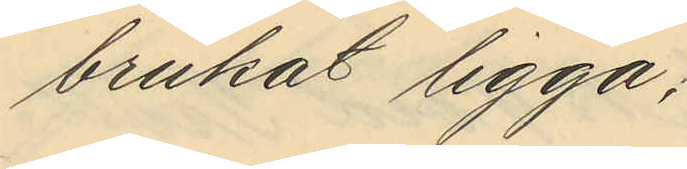brukat ligga;
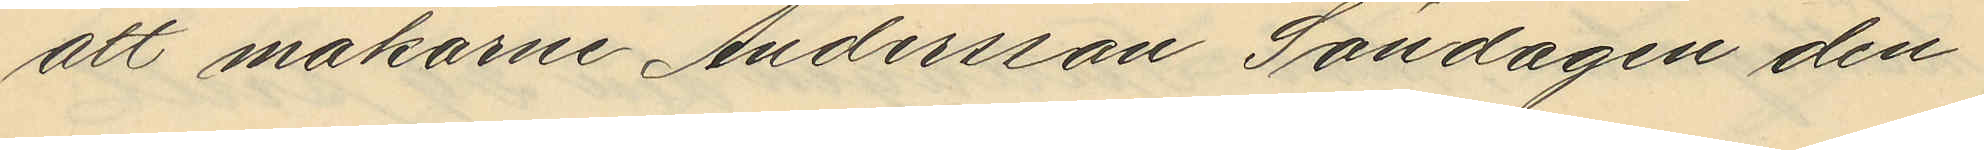att makarne Andersson Söndagen den
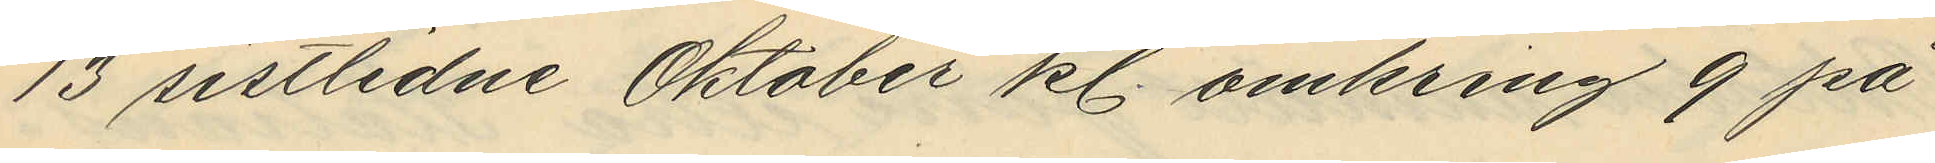13 sistlidne Oktober kl. omkring 9 på
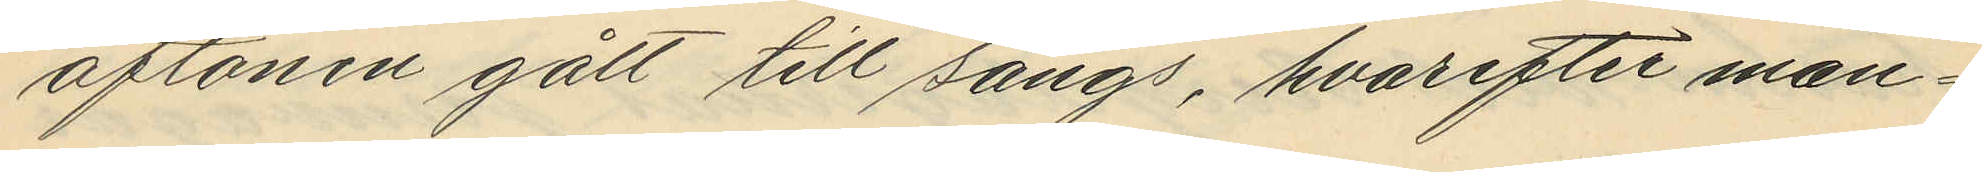aftonen gått till sängs, hvarefter man¬
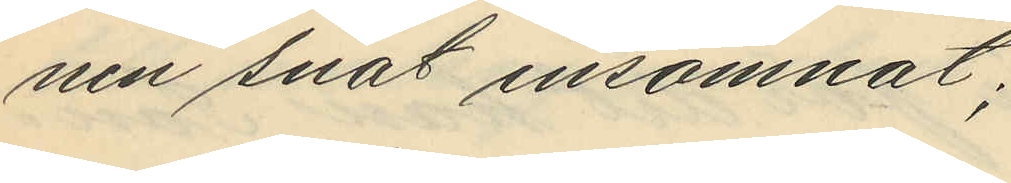nen snat insomnat;
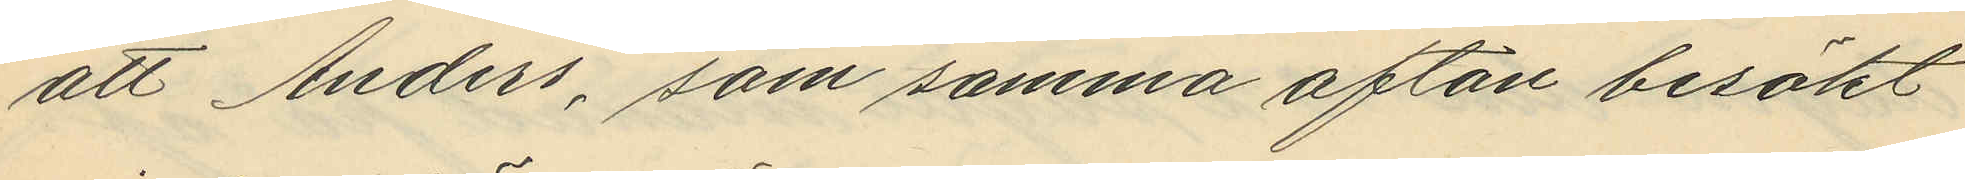att Anders, som samma afton besökt
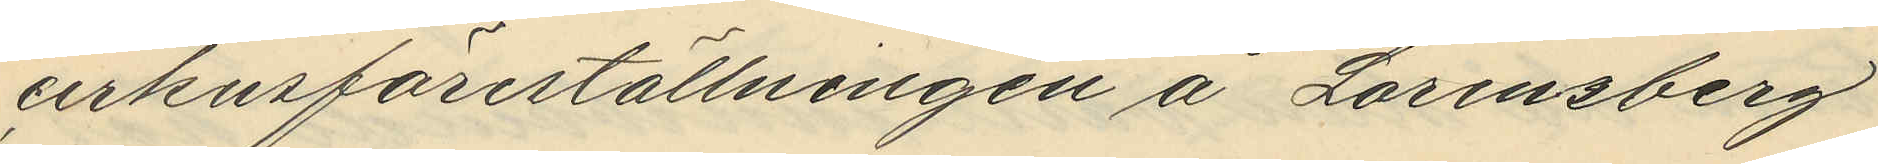cirkusföreställningen å Lorensberg
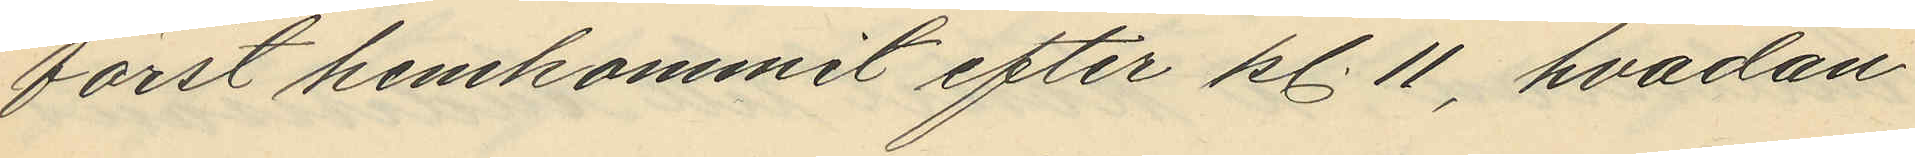först hemkommit efter kl. 11, hvadan
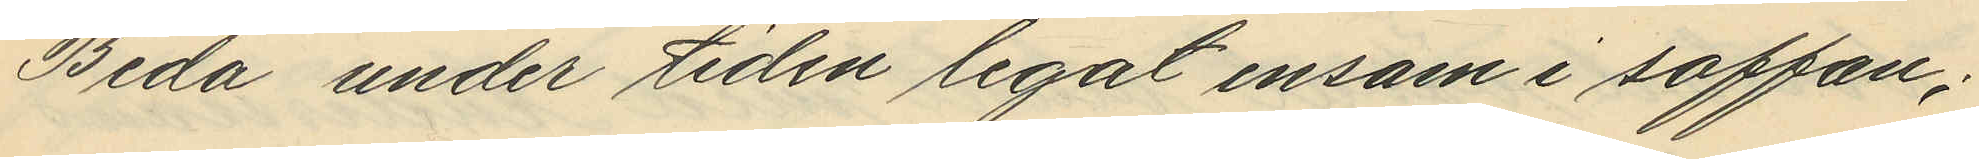Beda under tiden legat ensam i soffan;
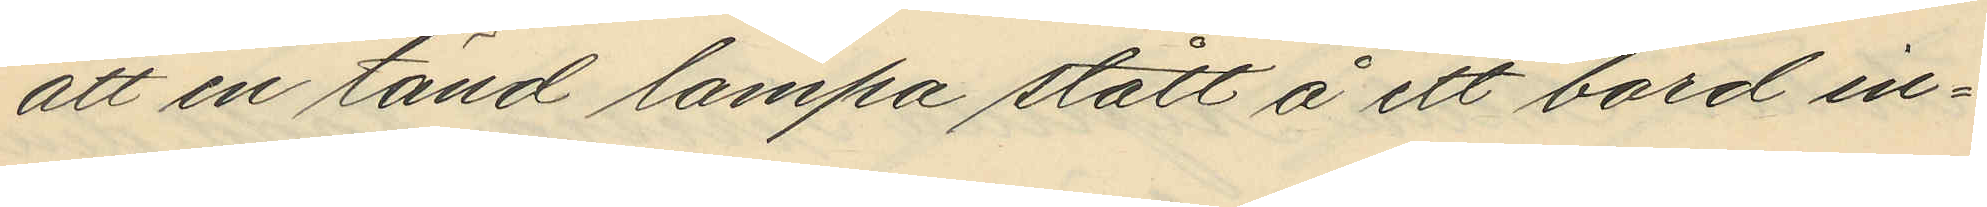att en tänd lampa stått å ett bord in¬
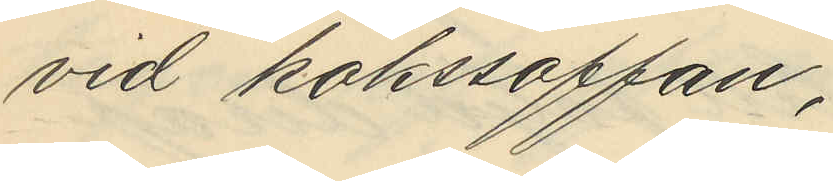vid kökssoffan,
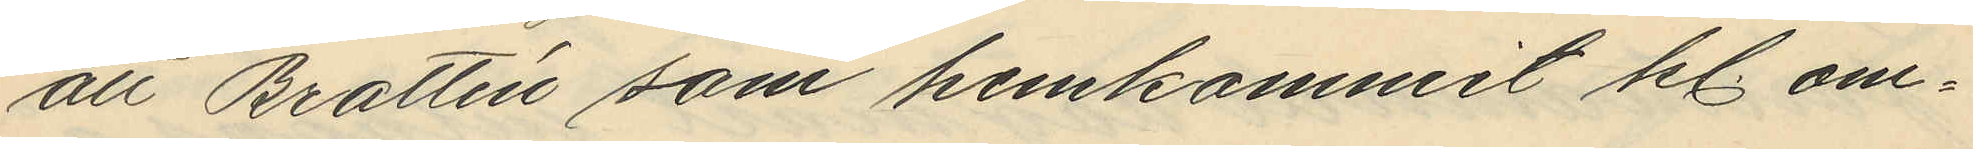att Brattén som hemkommit kl. om¬
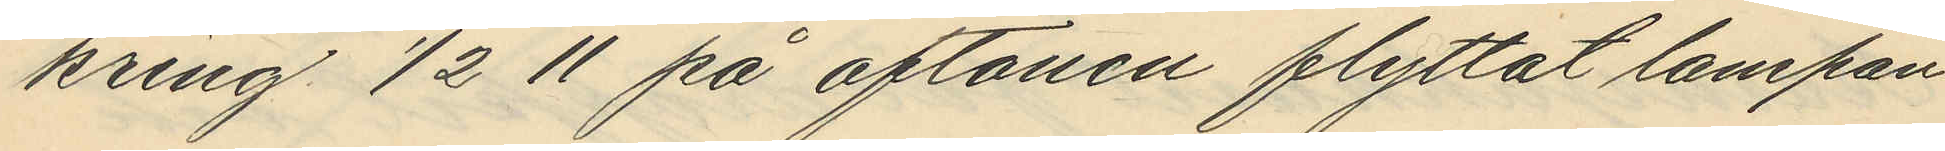kring 1/2 11 på aftonen flyttat lampan
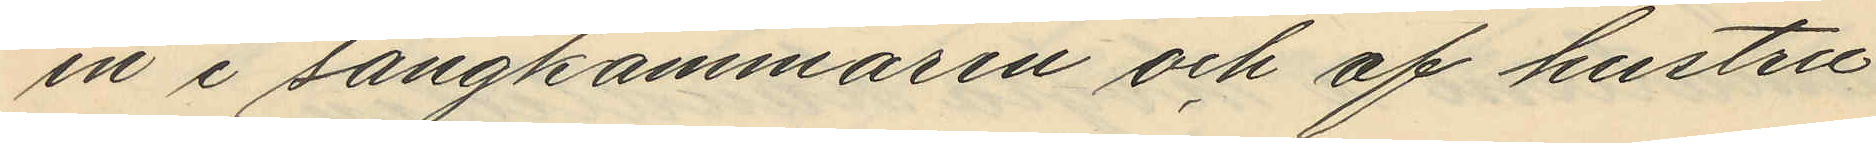in i sängkammaren och af hustru
